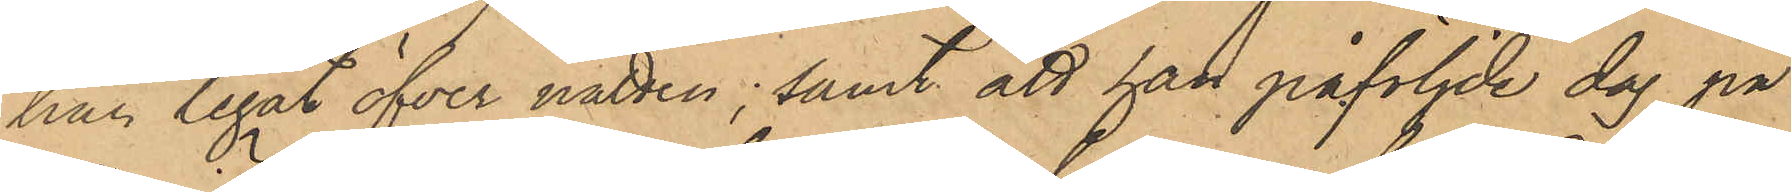han legat öfver natten; samt att han påföljde dag på
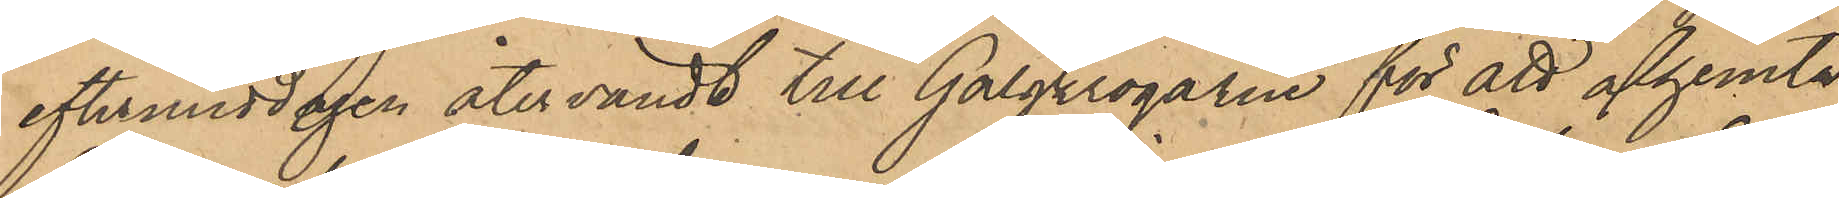eftermiddagen återvändt till Galgkrogarne för att afhemta
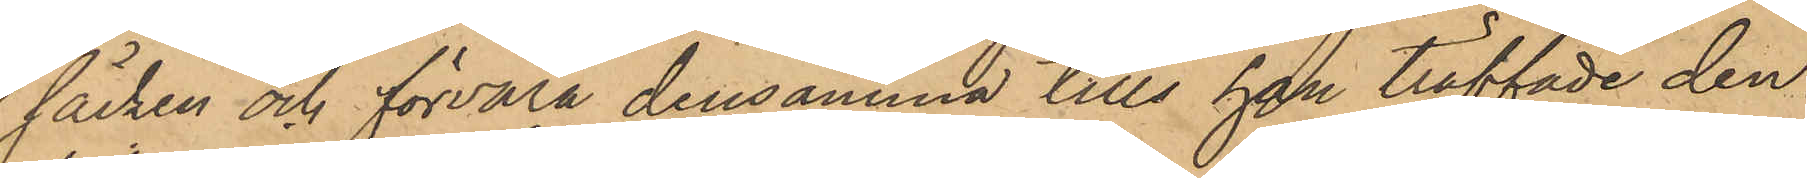säcken och förvara densamma tills han träffade den
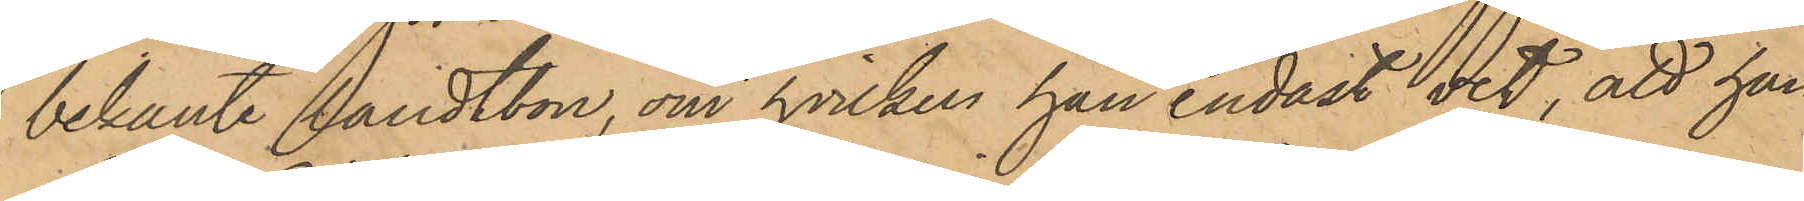bekante landtbon, om hvilken han endast vet, att han 
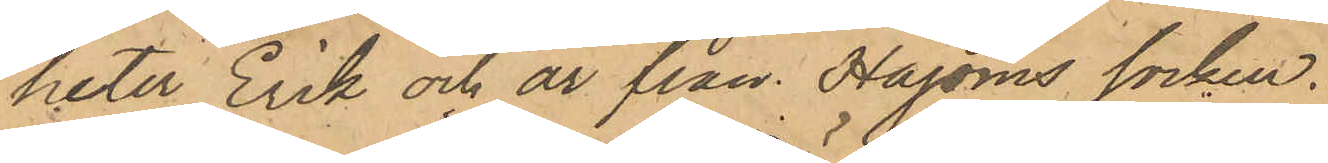heter Erik och är från Hajoms socken.
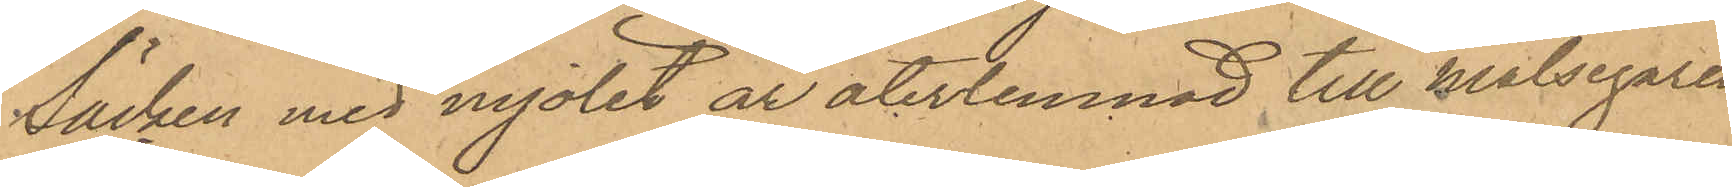Säcken med mjölet är återlemnad till målsegaren.
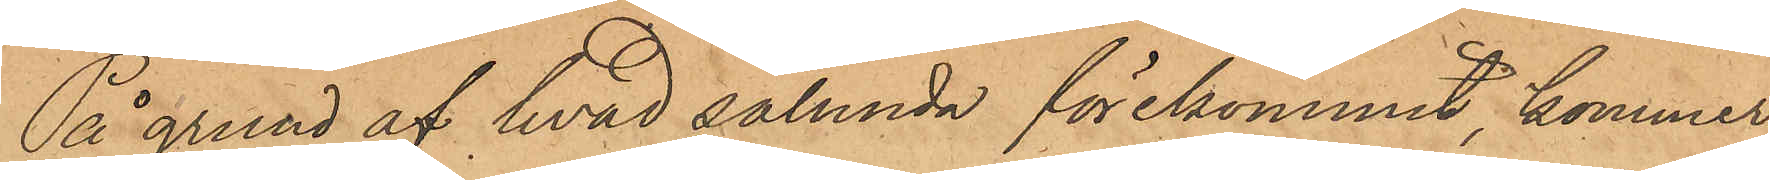På grund af hvad sålunda förekommit, kommer
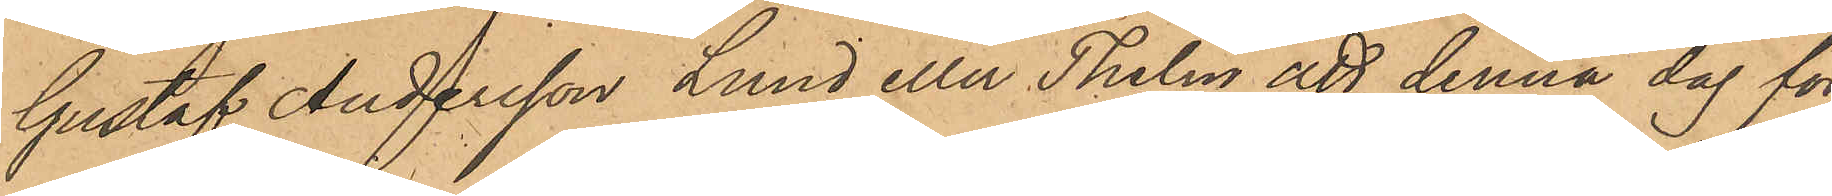Gustaf Andersson Lund eller Thelin att denna dag för
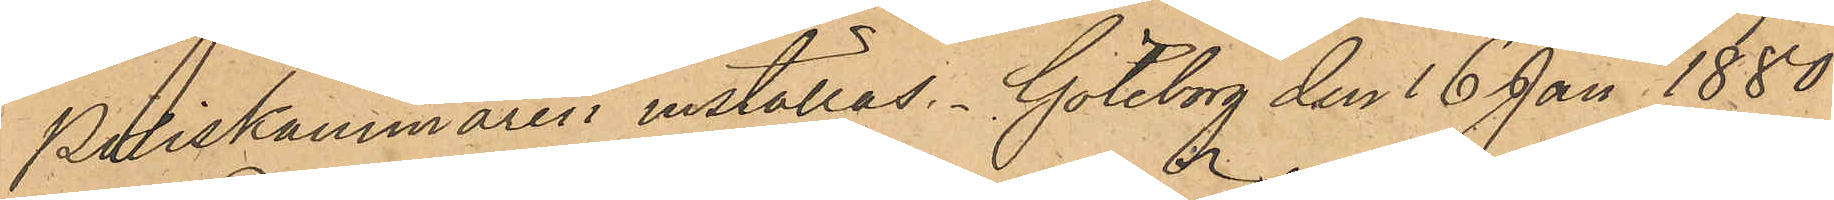Poliskammaren inställas. Göteborg den 16 Jan 1880.
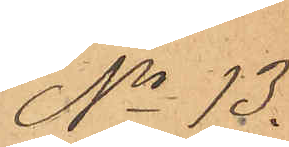No 13.
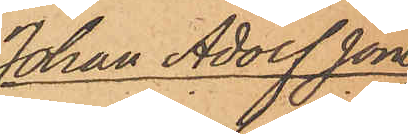Johan Adolf Jons
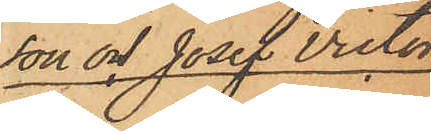son och Josef Victor
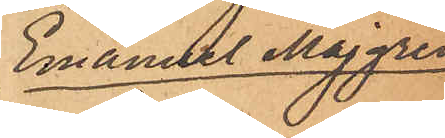Emanuel Majgren
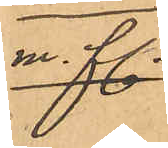m. fl.
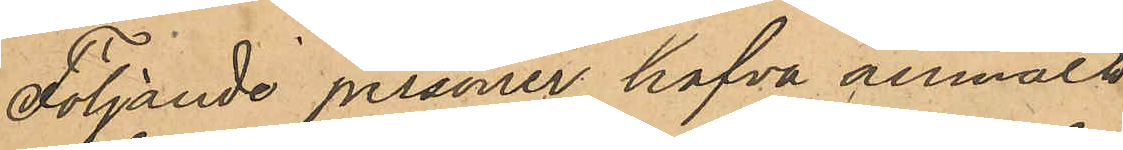Följade personer hafva anmält:
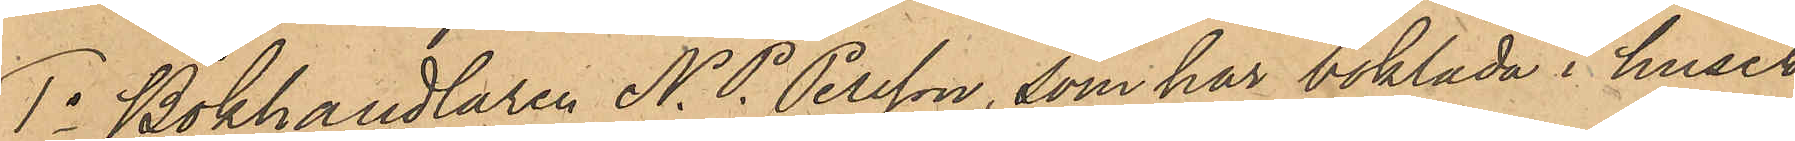1o Bokhandlaren N. P. Persson, som har boklåda i huset 
